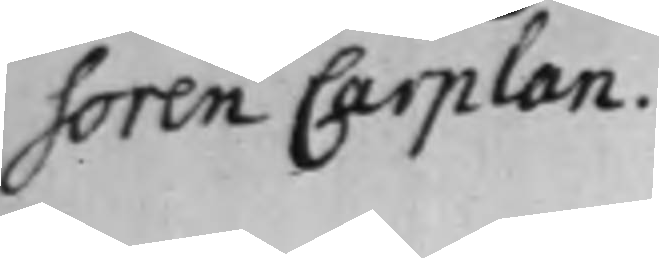soren Carplan.
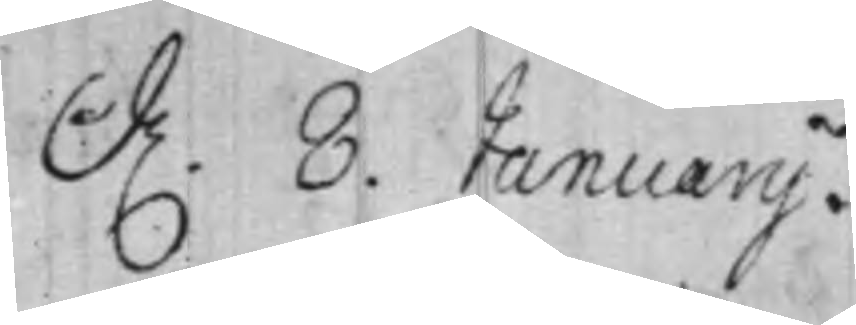d. 8. Januarij.
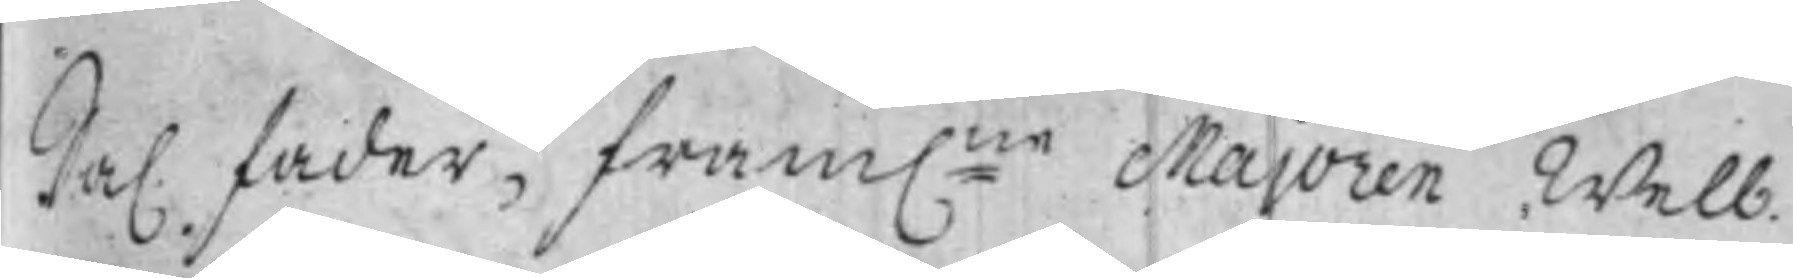Sal. fader, fram:ne Majoren Welb.
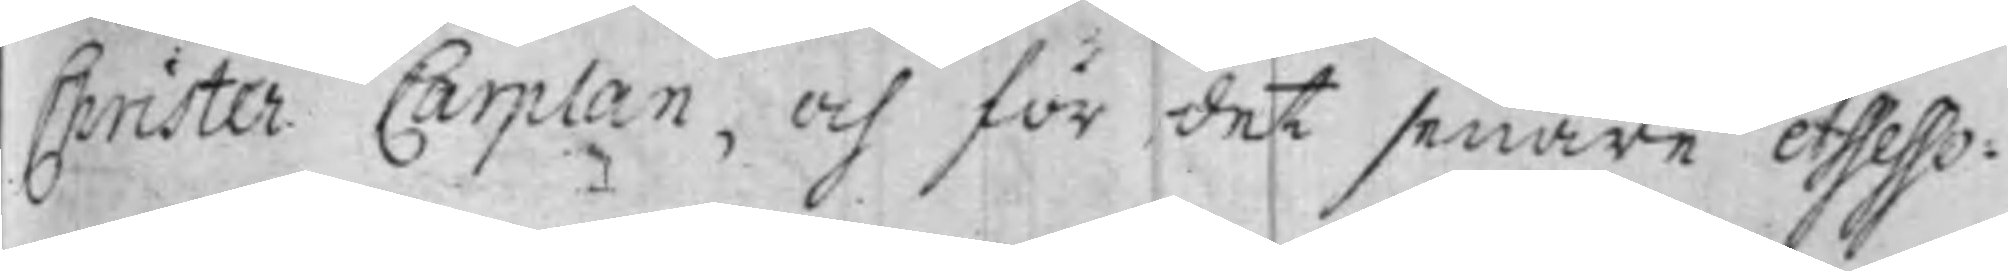Christer Carplan, och för det senare Assesso¬
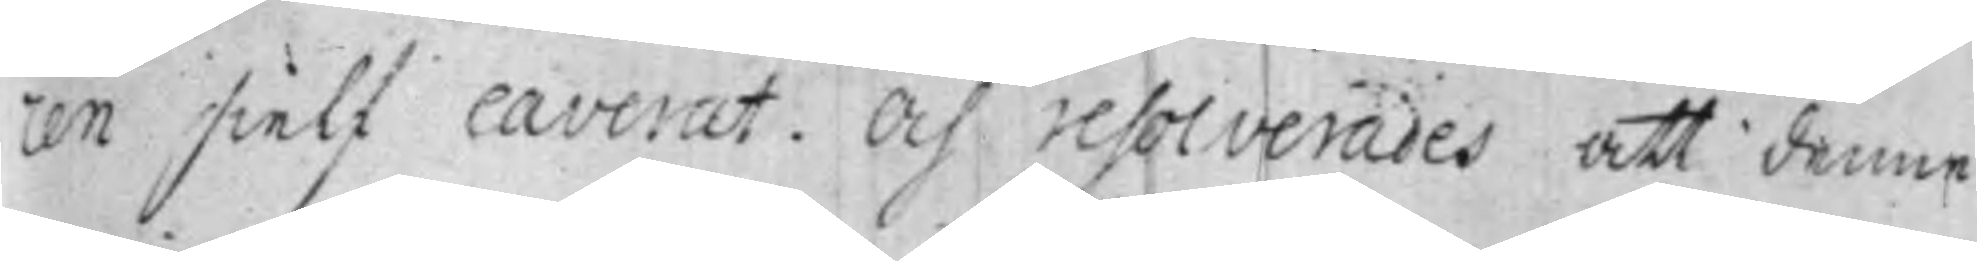ren sielf caverat. Och resolverades att denne
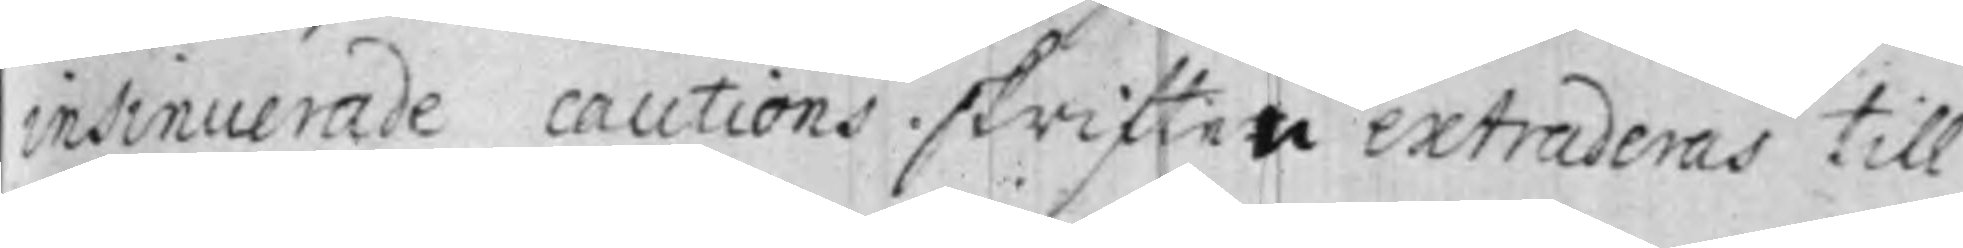insinuerade cautions skriften extraderas till
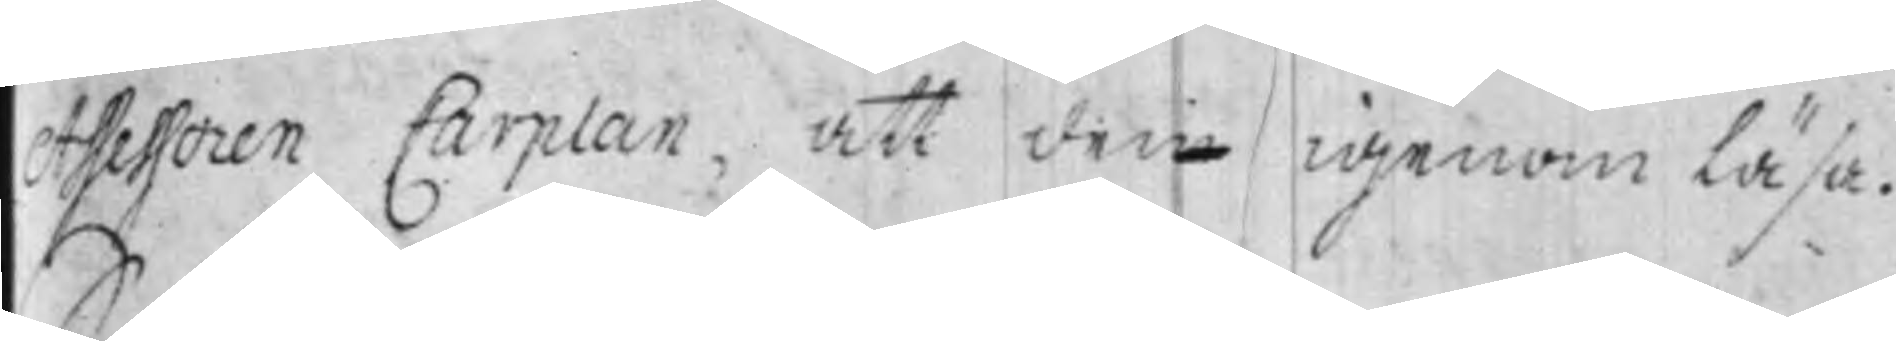Assessoren Carplan, att dene igenom Läsa.
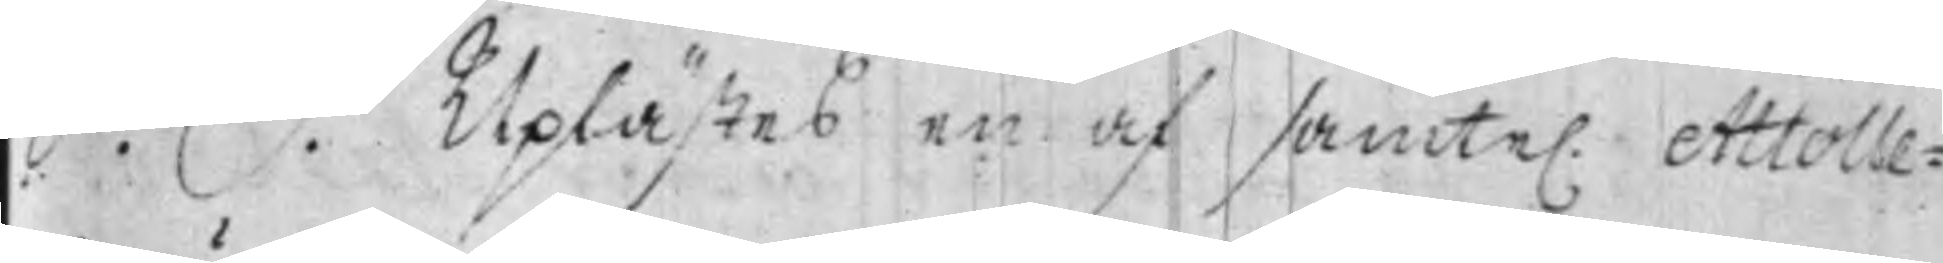S. D. Uplästes en af samte. Attolle¬
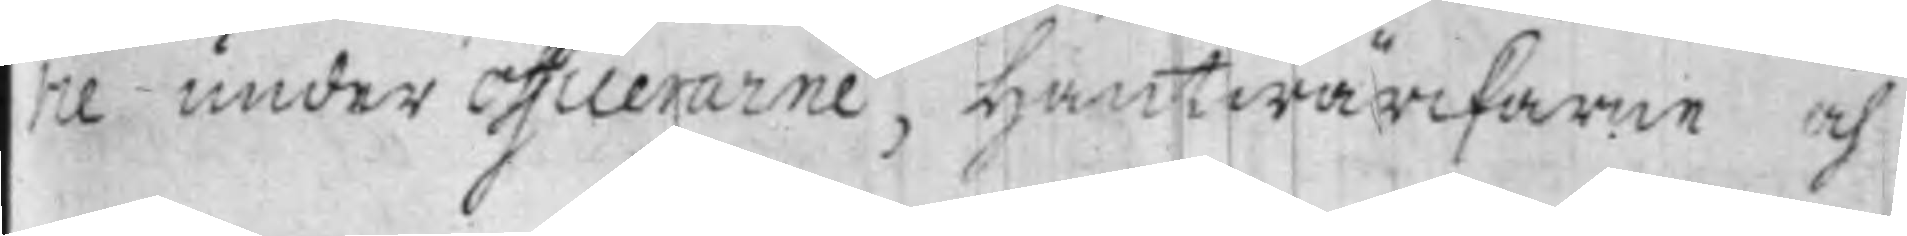rie under Officerarne, Hantwärckarne och
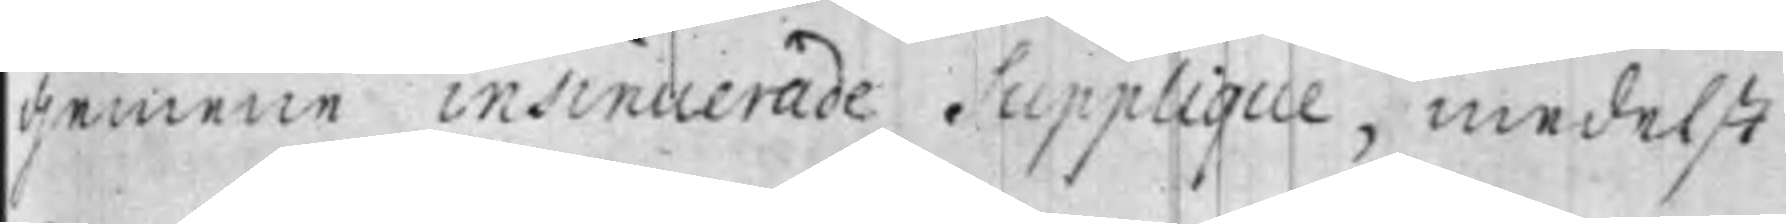gemene insinuerade Supplique, medelst
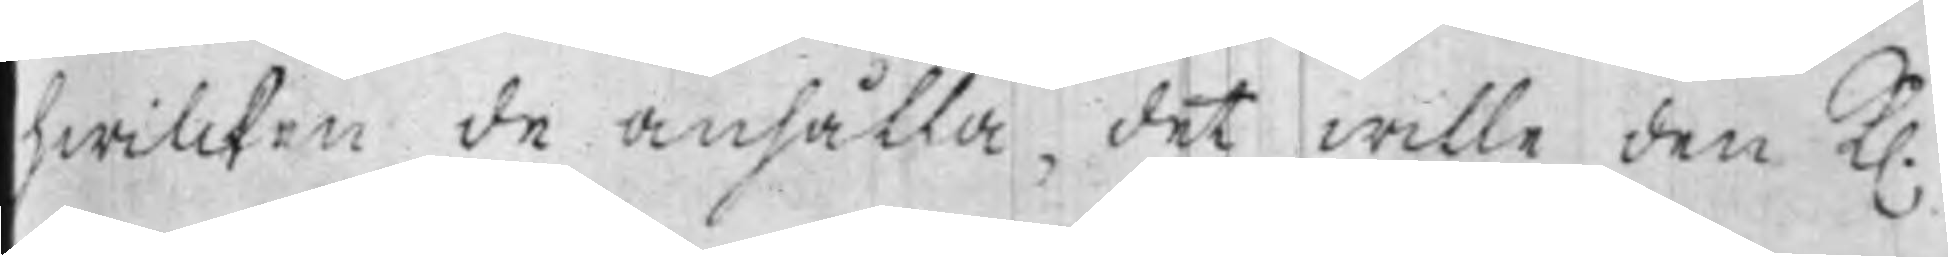hwilcken de anhålla, det wille den K.
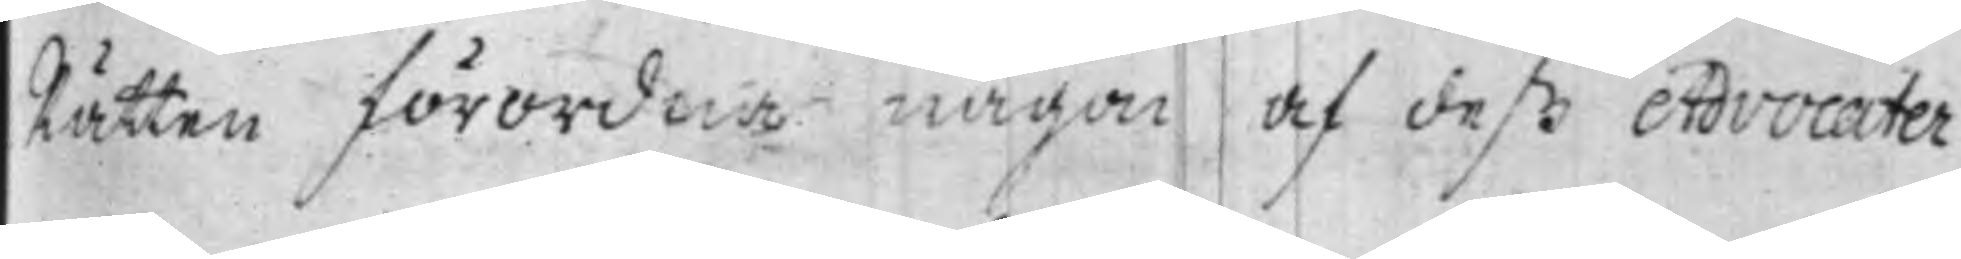Rätten förordna någon af deß Advocater
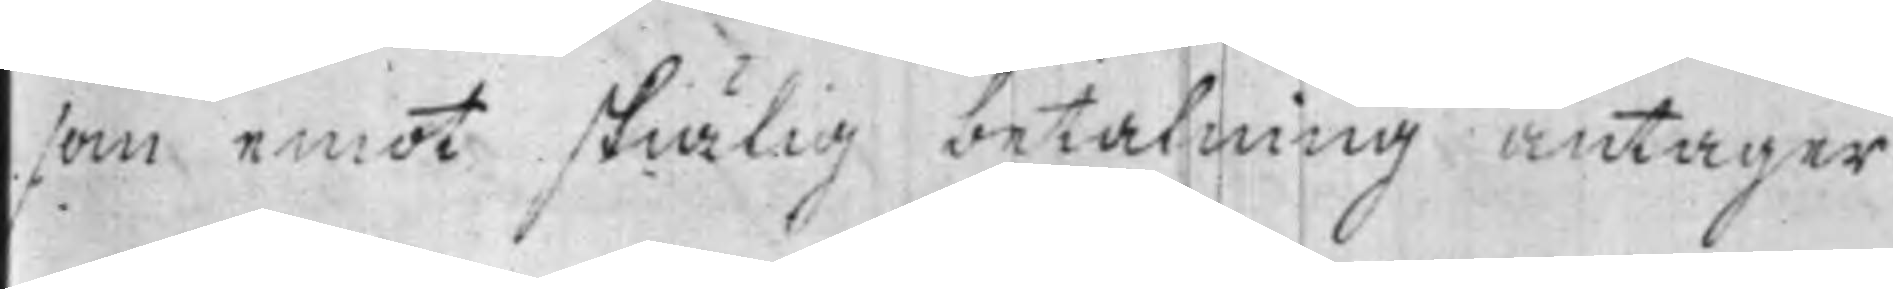som emot skiälig betalning antager
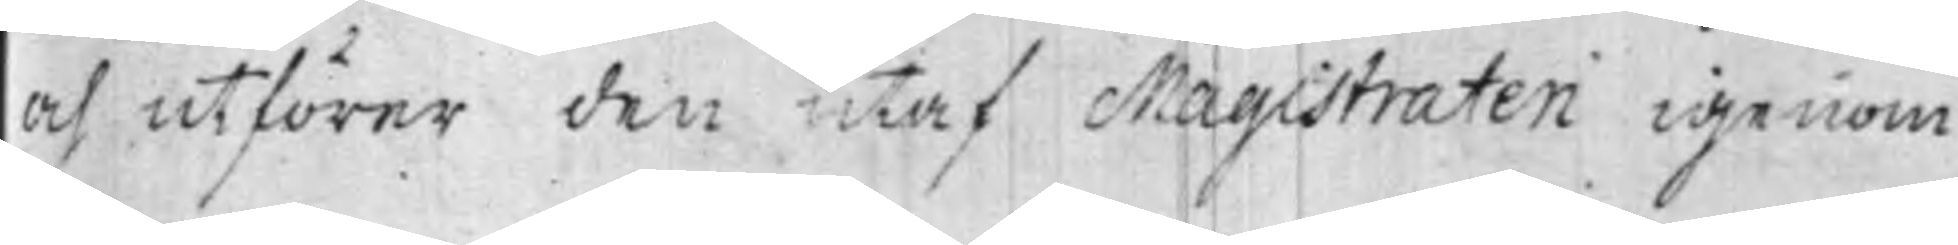och utförer den utaf Magistraten igenom
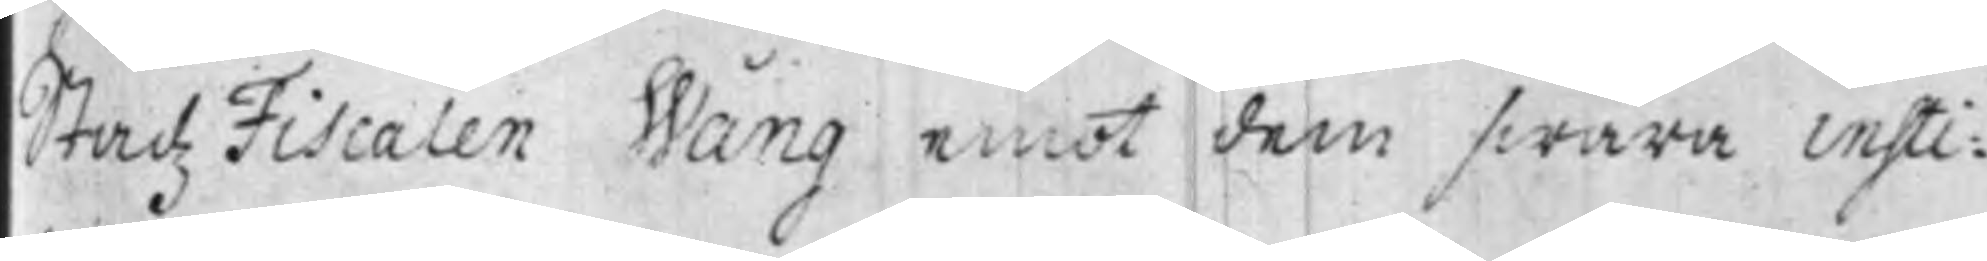Stadz Fiscalen Wång emot dem swåra insti¬
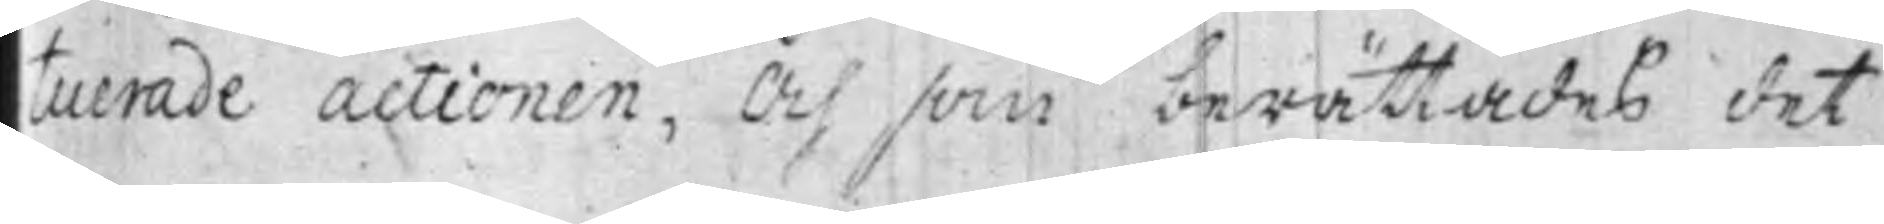tuerade actionen, Och som berättades det
